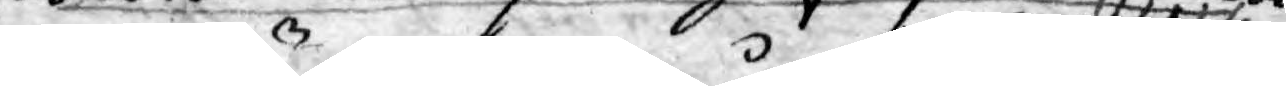wara lämpeligast, om alla
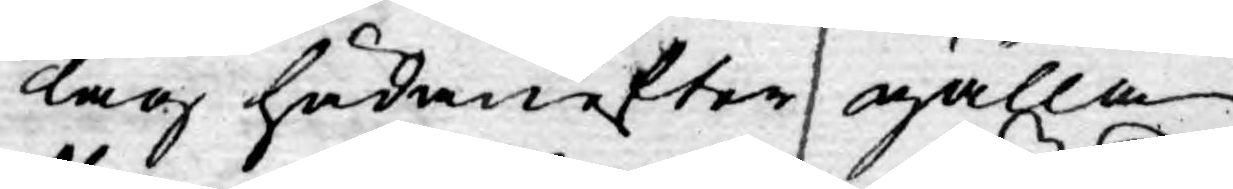Lag hädanefter gälla
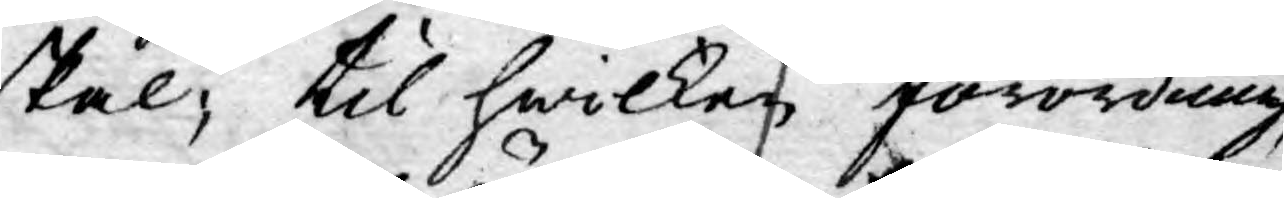skal; til hwilken förordning,
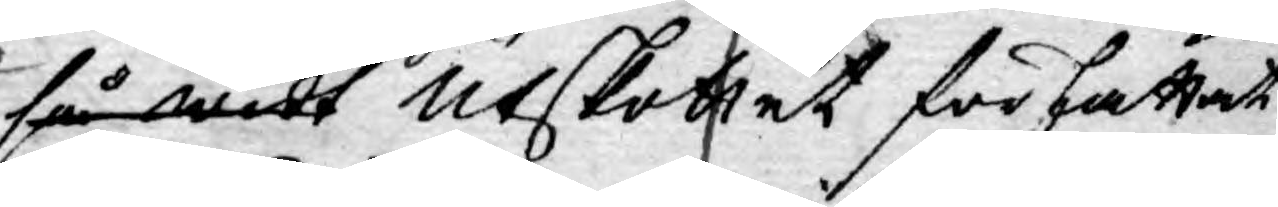så widt Utskottet författat
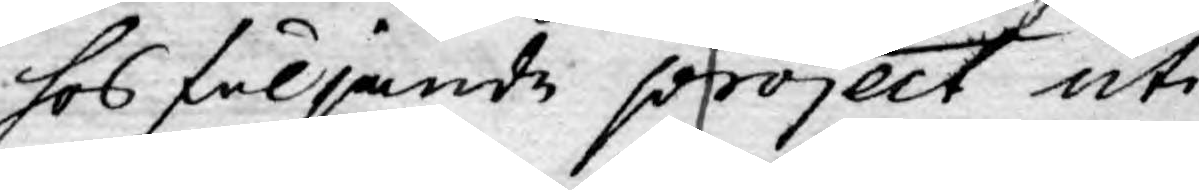hos följande project uti
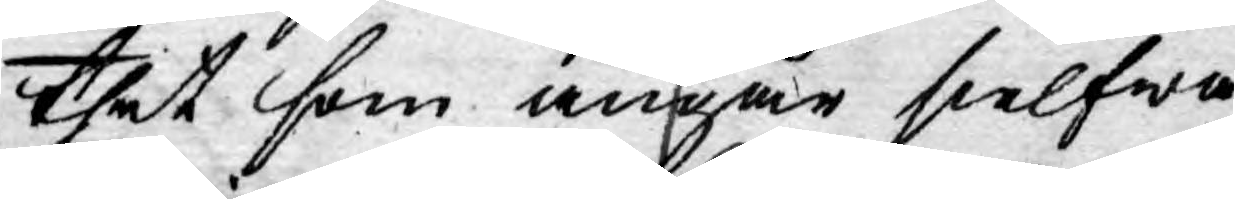thet som angår sielfwa
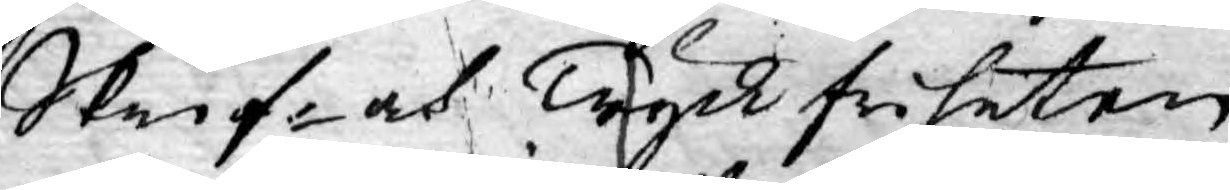Skrif- och Tryckfriheten;
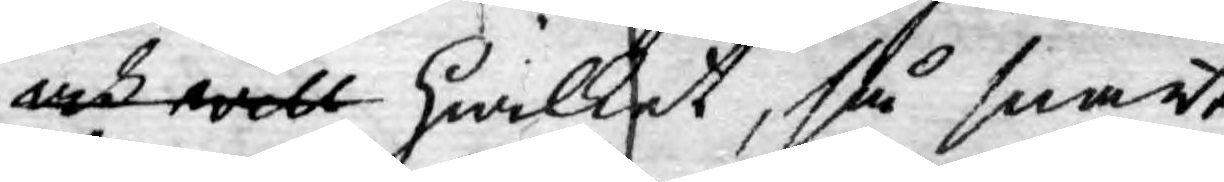och will hwilket, så snart
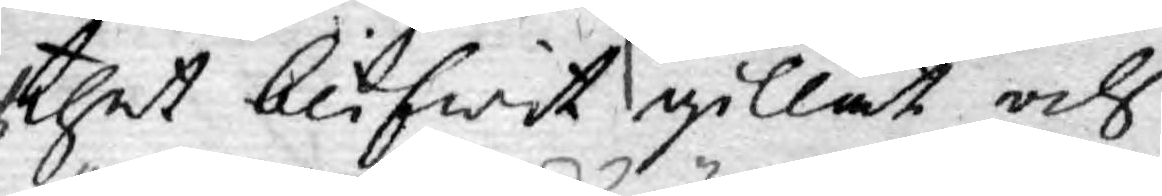thet blifwit gillat och
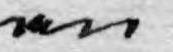an¬
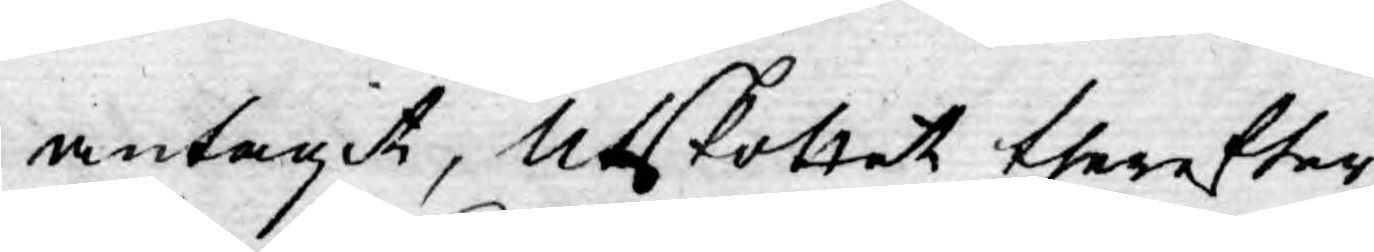antagit, Utskottet therefter
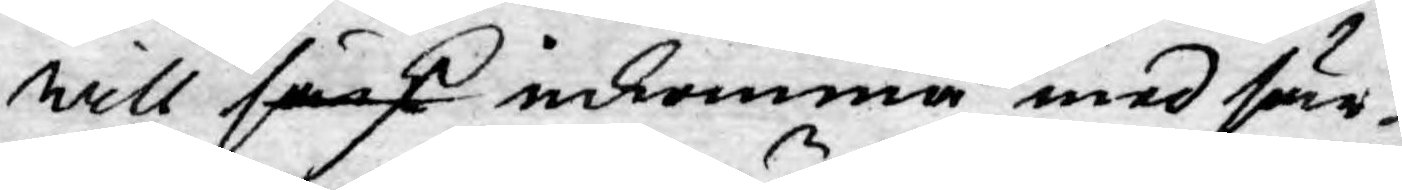will särsk inkomma med sär¬
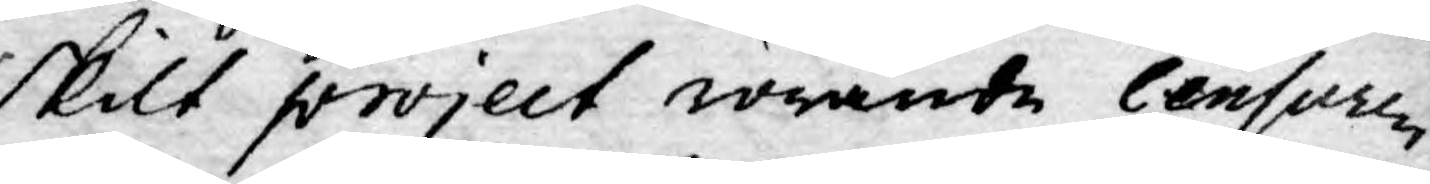skilt project rörande Censuren
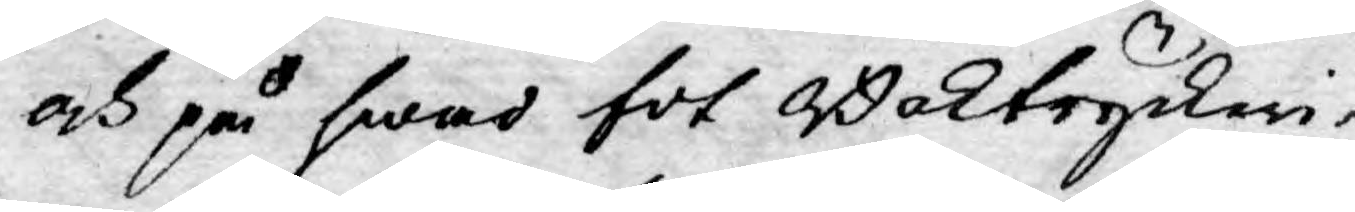och på hwad fot Boktryckeri¬
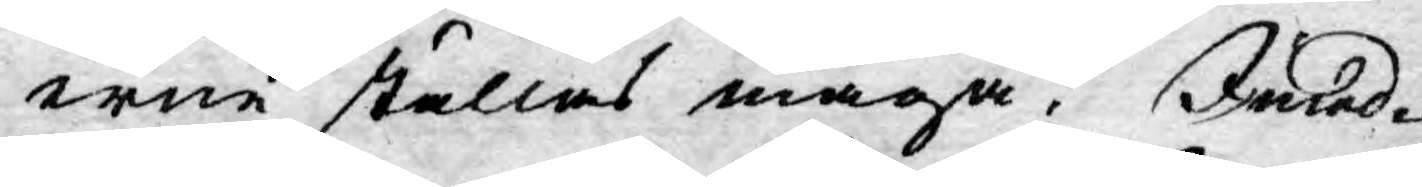erne ställas måga. Imed¬
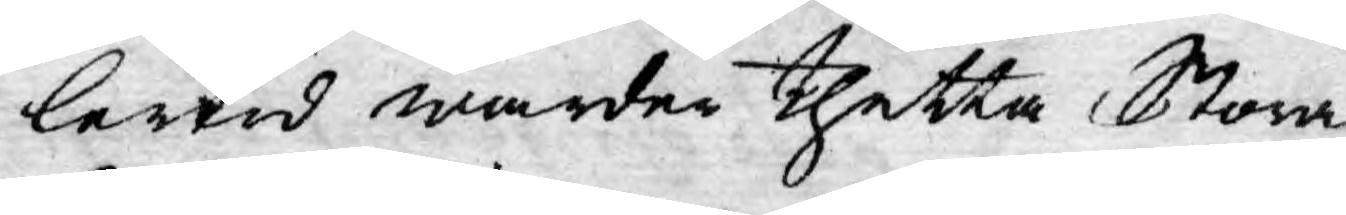lertid warder thetta Stora
